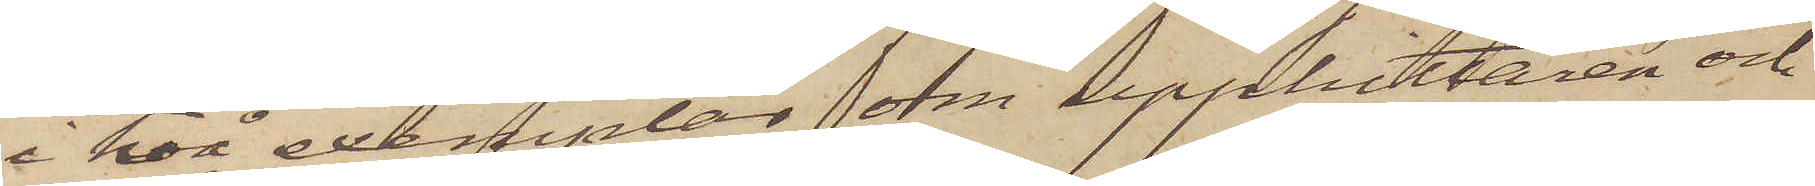i två exemplar om upphittaren och
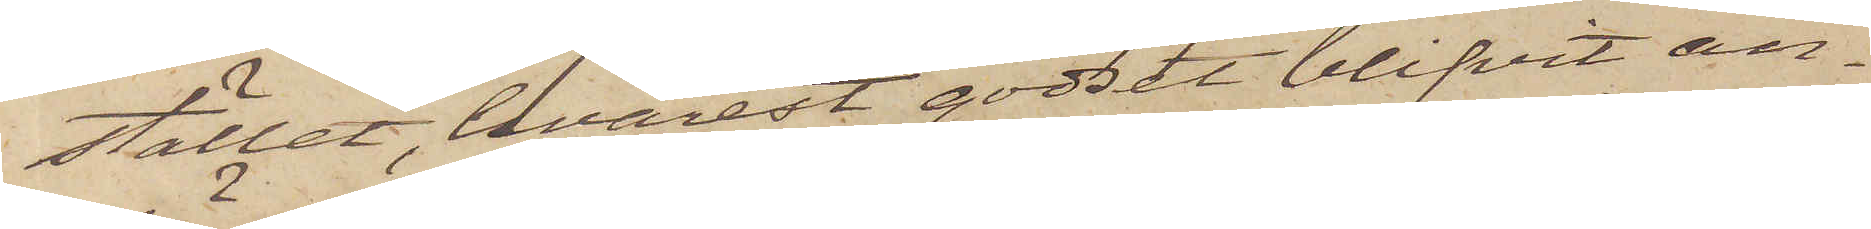stället, hvarest godset blifvit an¬
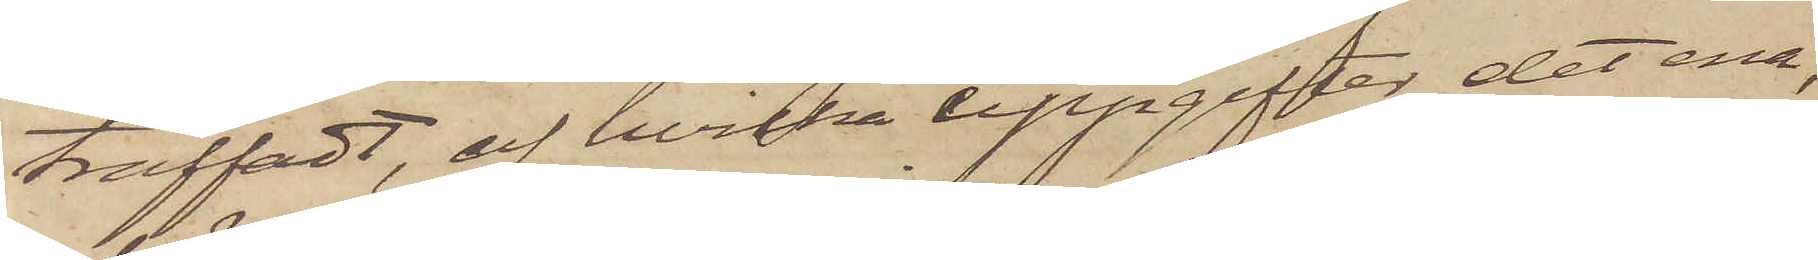träffadt, af hvilka uppgifter det ena,
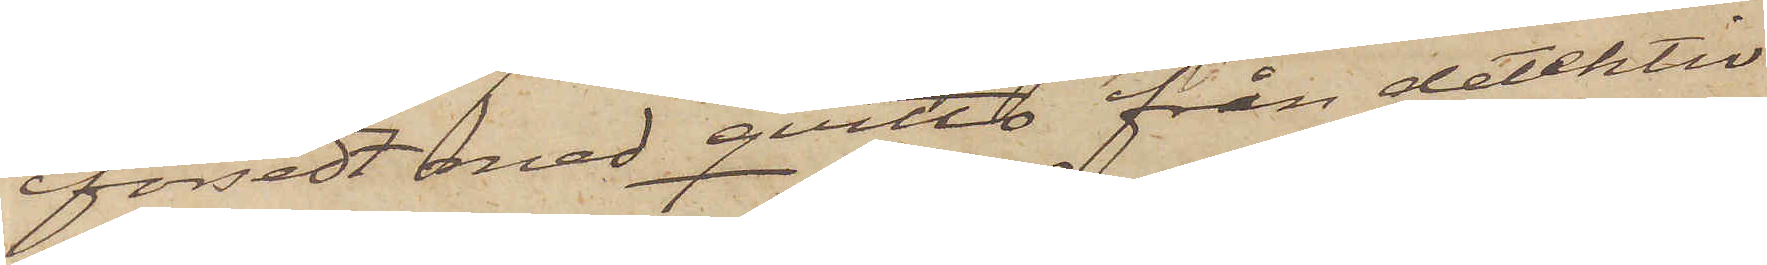försedt med qvitto från detektiv
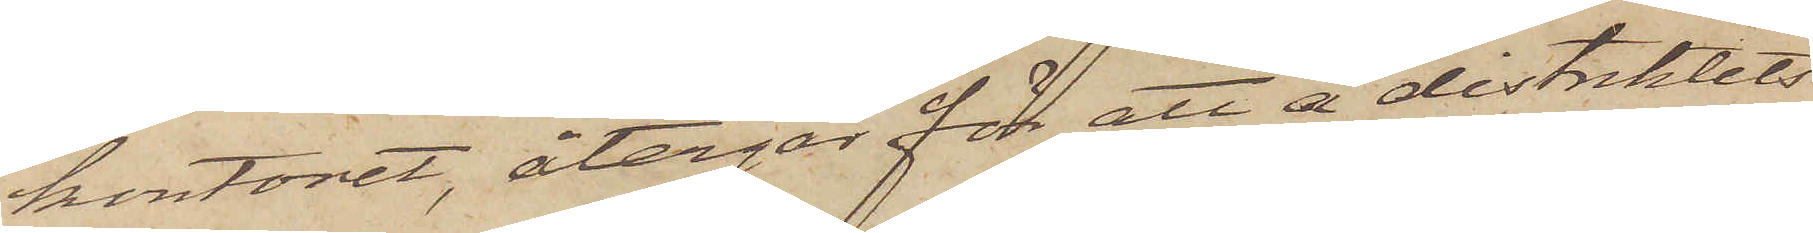kontoret, återgår för att å distriktets
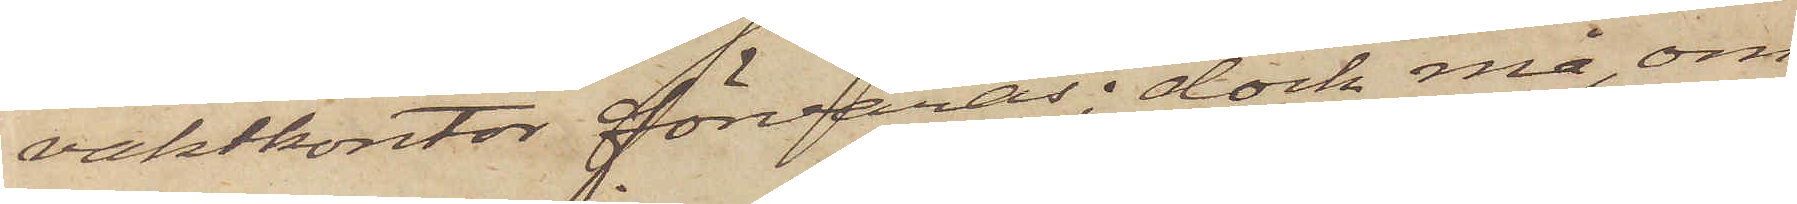vaktkontor förvaras; dock må, om
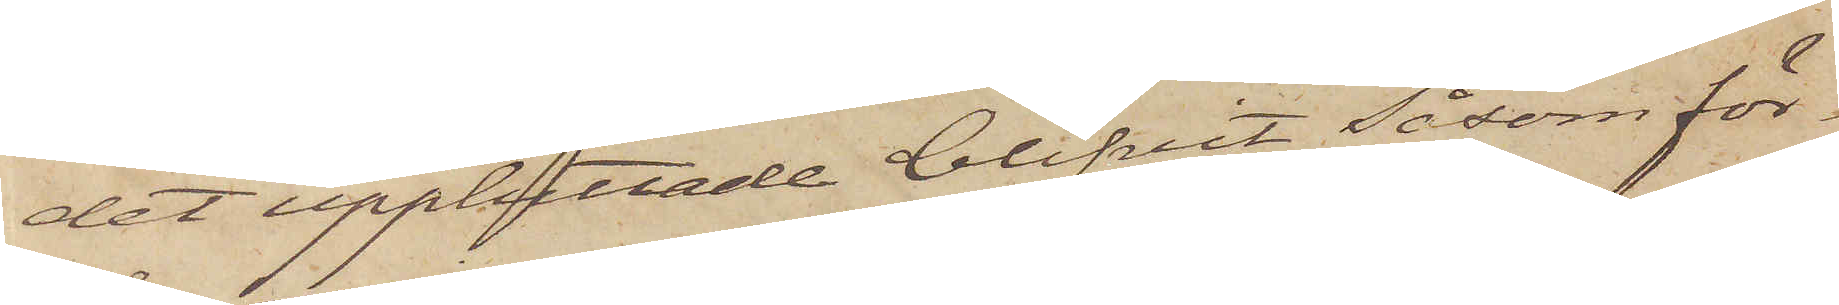det upphittade blifvit såsom för¬
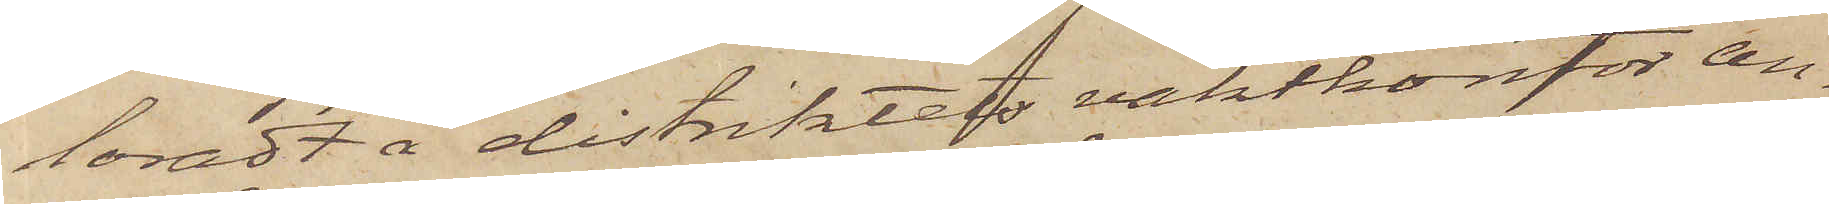loradt å distriktet vaktkontor an¬
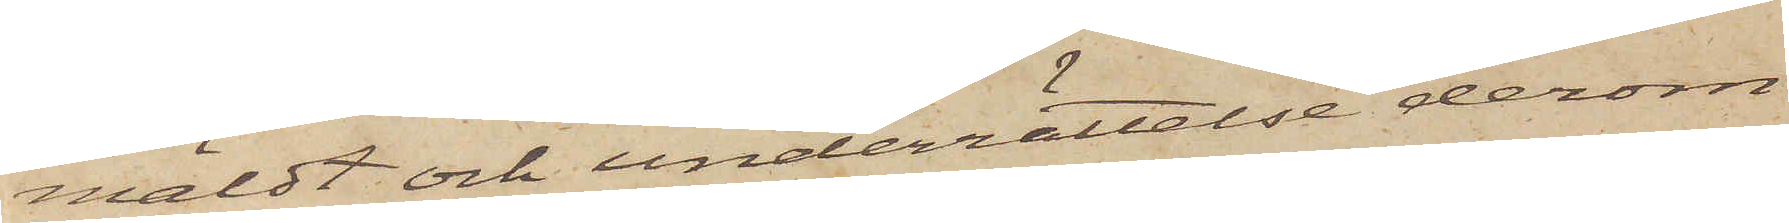mäldt och underrättelse derom
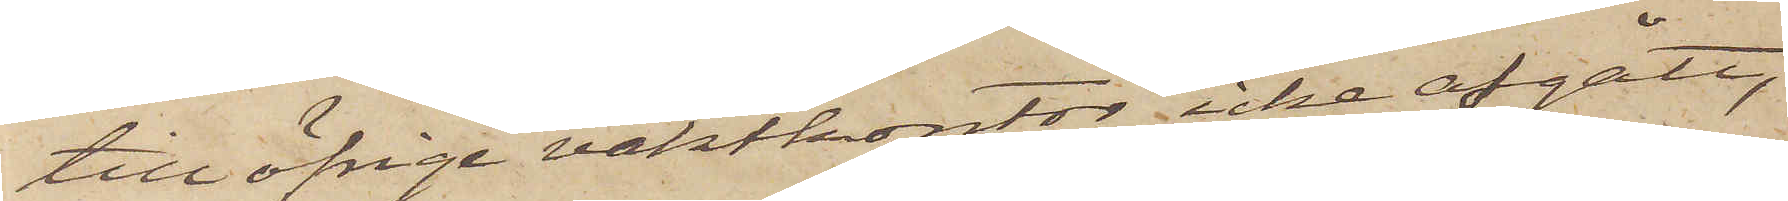till öfrige vaktkontor icke afgått,
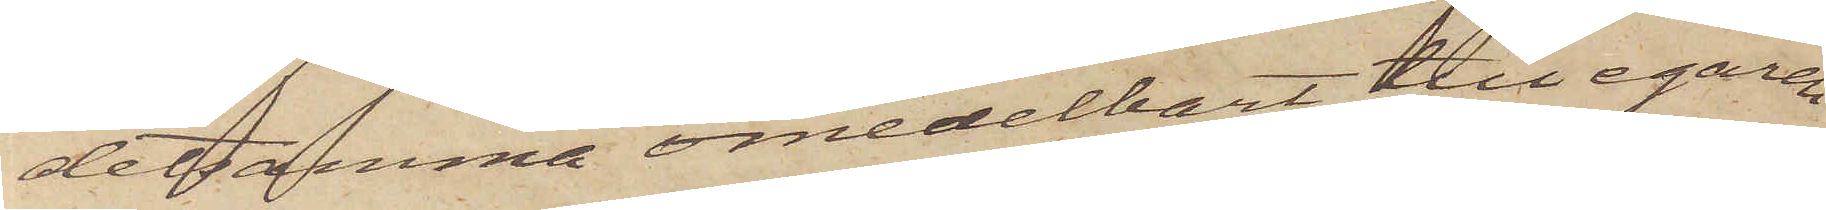detsamma omedelbart till egaren
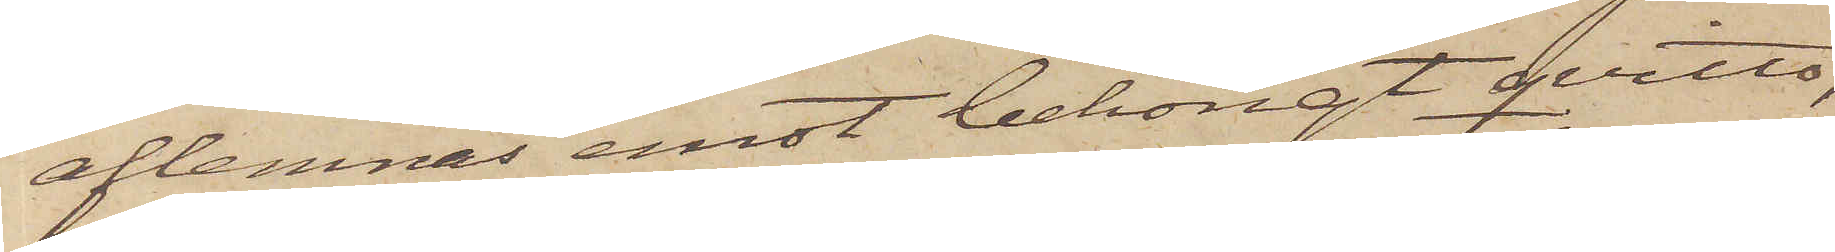aflemnas emot behörigt qvitto,
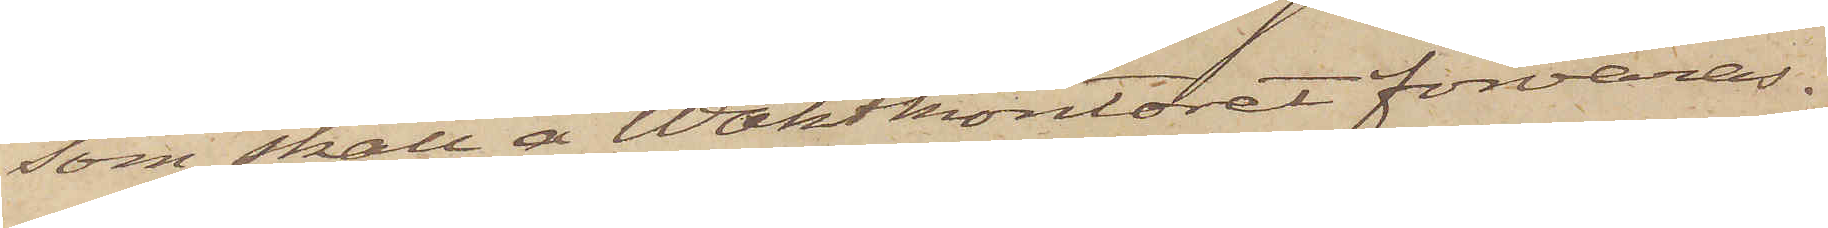som skall å Waktkontoret förvaras.
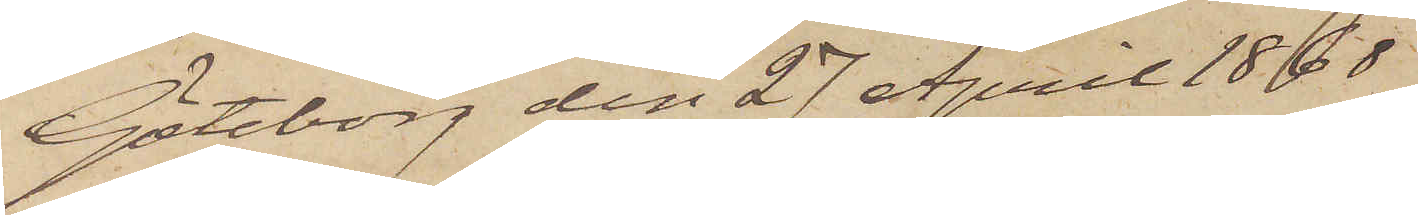Göteborg den 27 April 1868
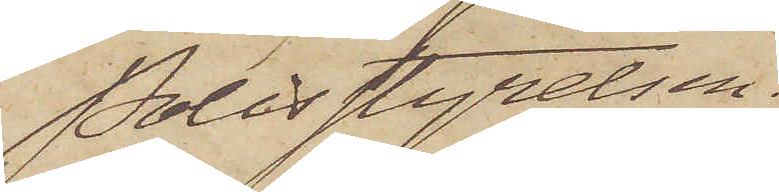Polisstyrelsen.
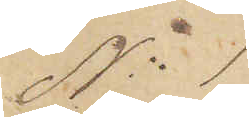No 1
